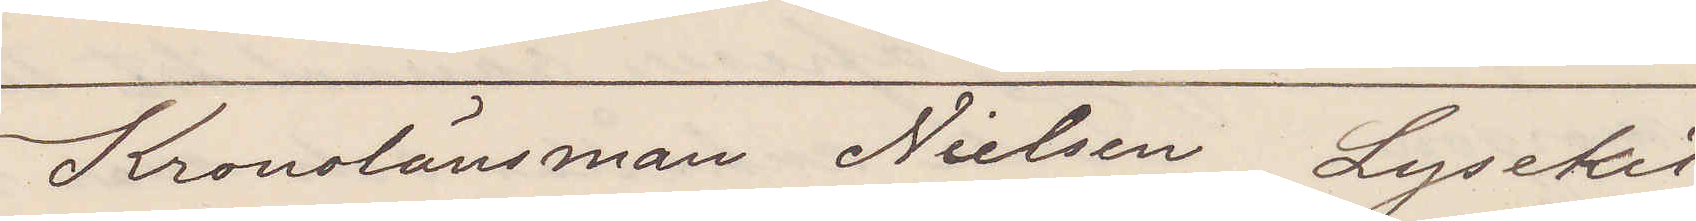Kronolänsman Nielsen Lysekil
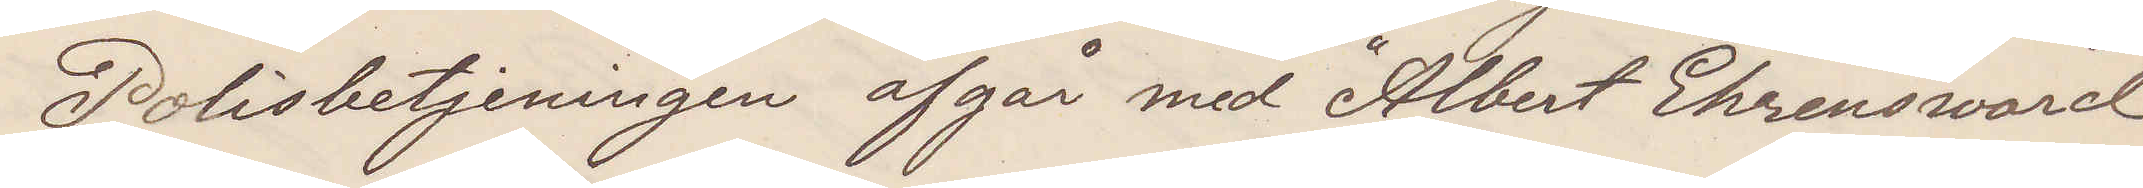Polisbetjeningen afgår med Albert Ehrensvärd
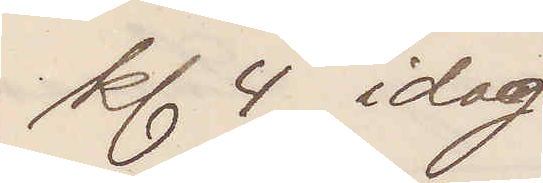kl 4 idag
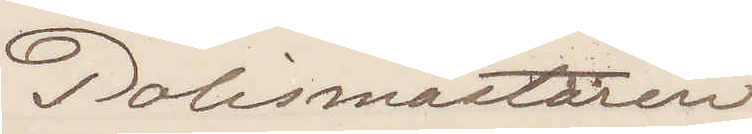Polismästaren
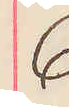6
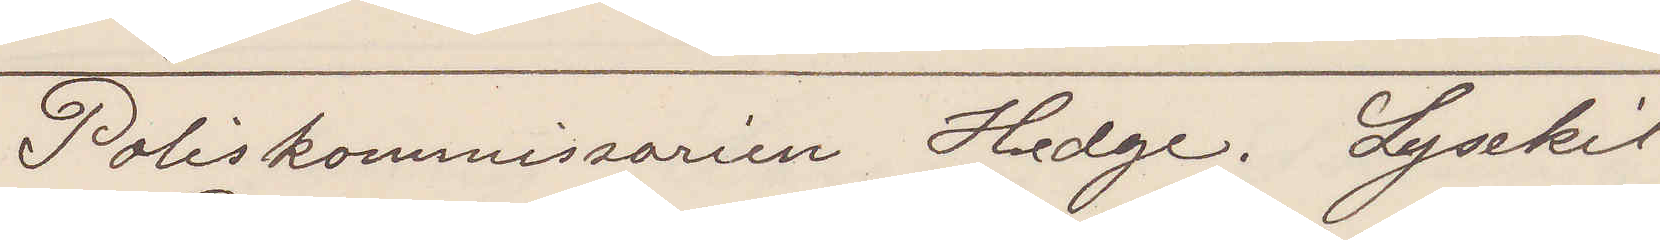Poliskommissarien Hedge. Lysekil.
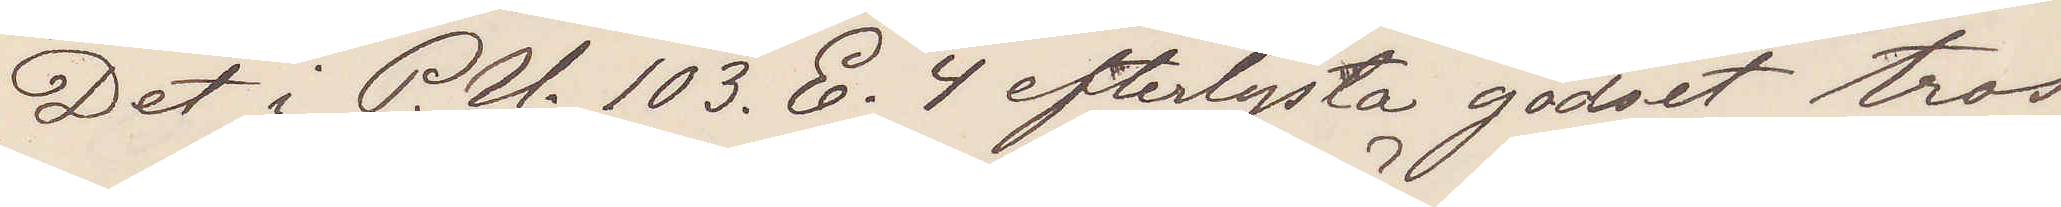Det i P. U. 103. E. 4 efterlysta godset tros
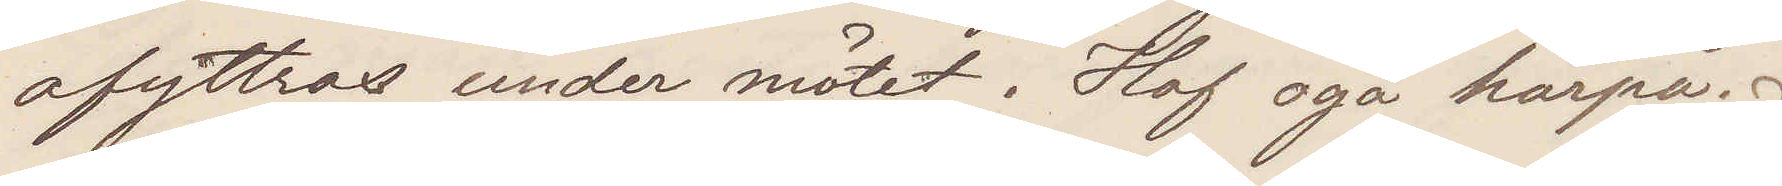afyttras under mötet. Haf öga härpå.
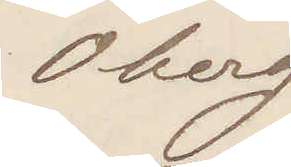Öberg
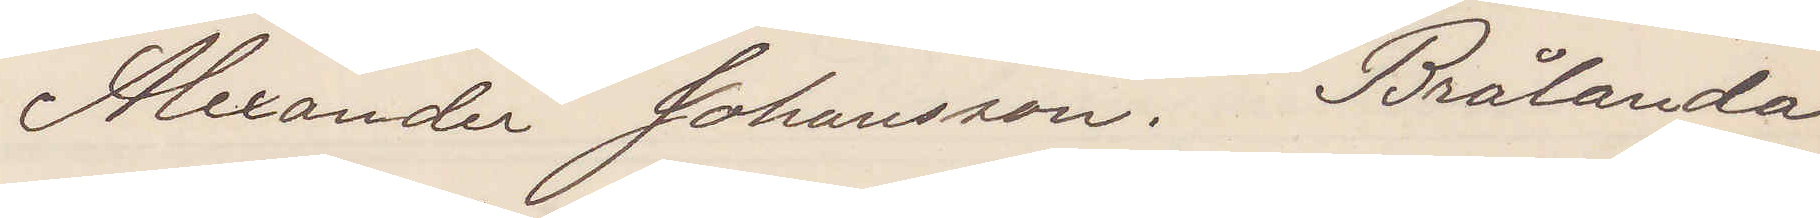Alexander Johansson. Brålanda
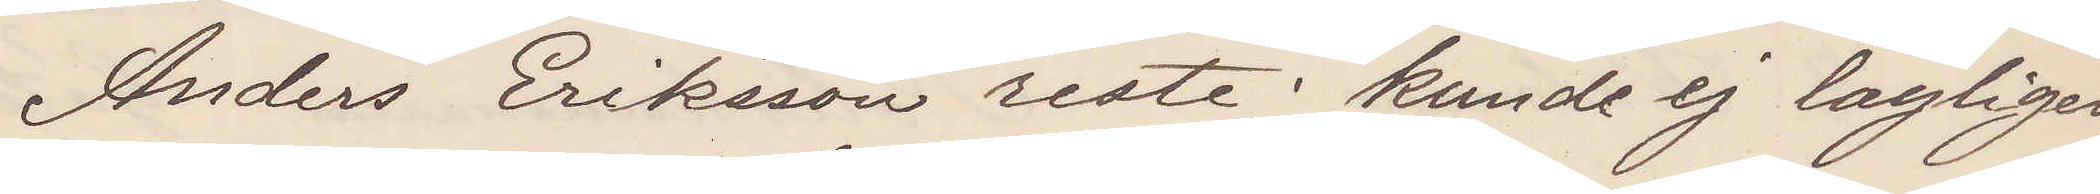Anders Eriksson reste; kunde ej lagligen
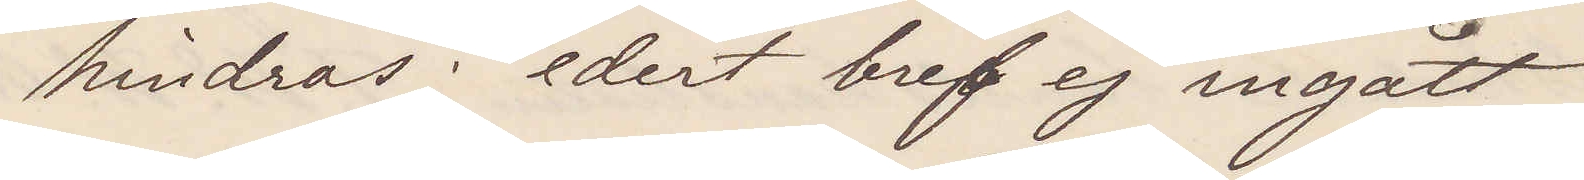hindras; edert bref ej ingått
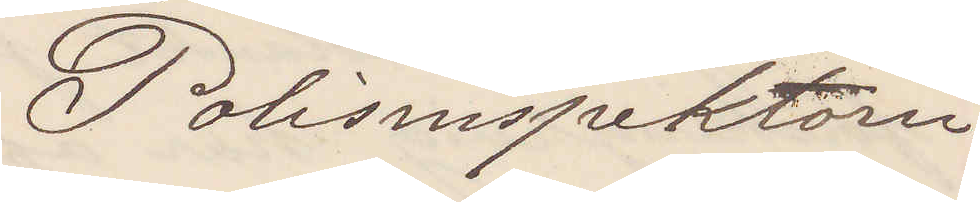Polisinspektorn
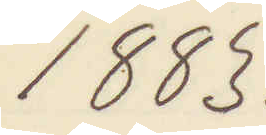1883.
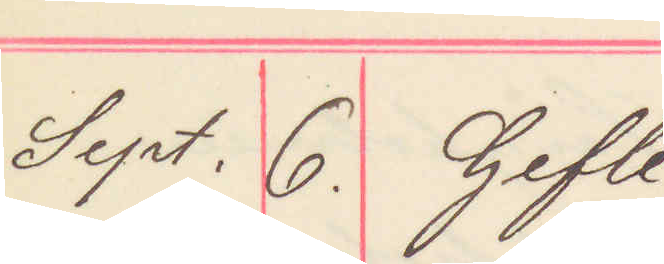Sept. 6. Gefle.
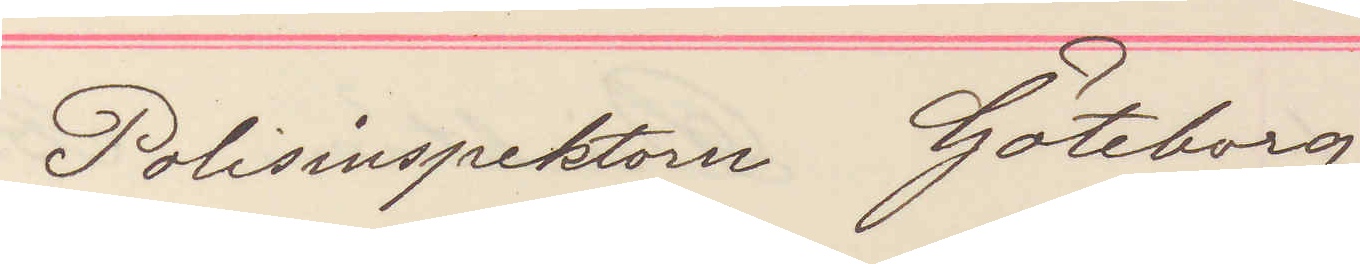Polisinspektorn Göteborg
